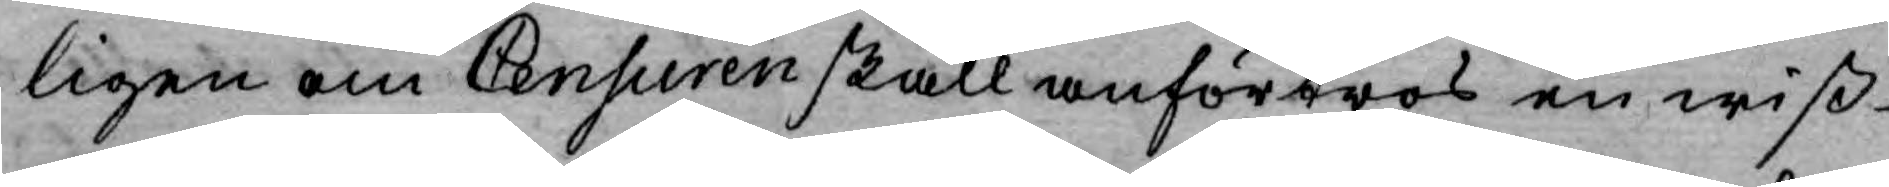ligen om Censuren skall anförtros en wiß
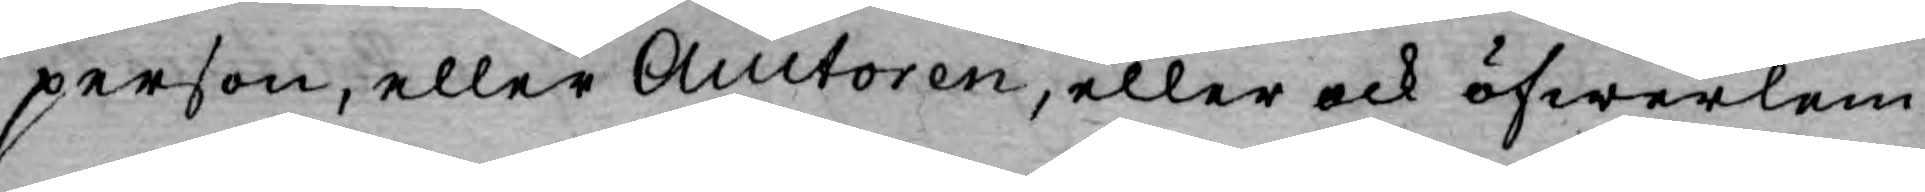person, eller Auctoren, eller ock öfwerlem¬
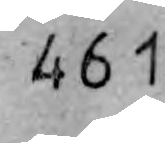461
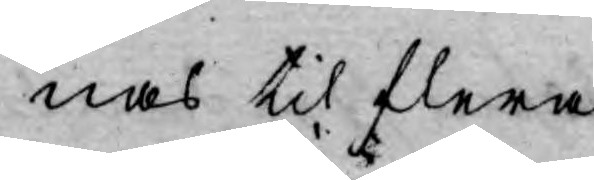nas til flera.
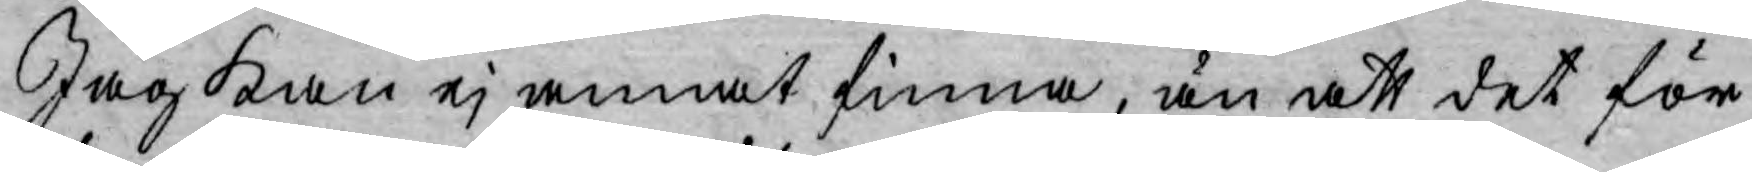Jag kan ej annat finna, än att det för
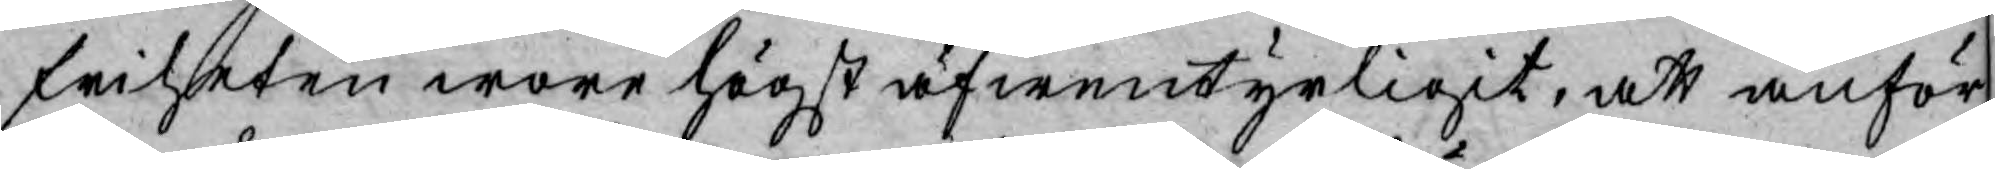friheten wore högst äfwentyrligit, att anför¬
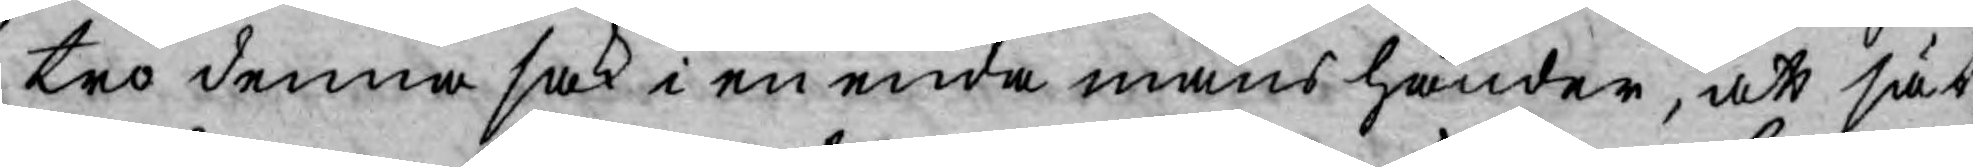tro denna sak i en enda mans händer, att sät¬
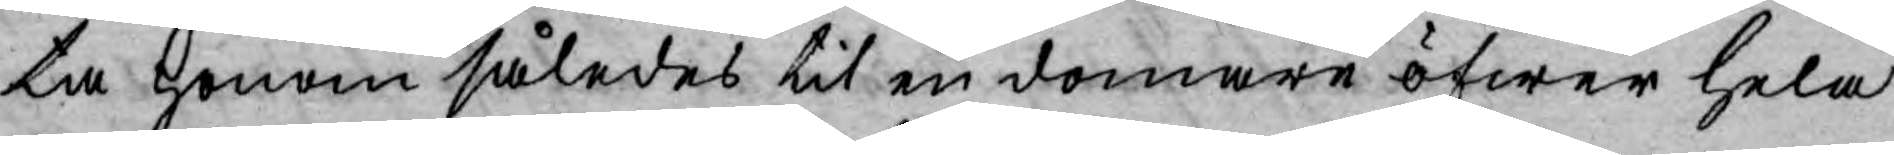ta honom således til en domare öfwer hela
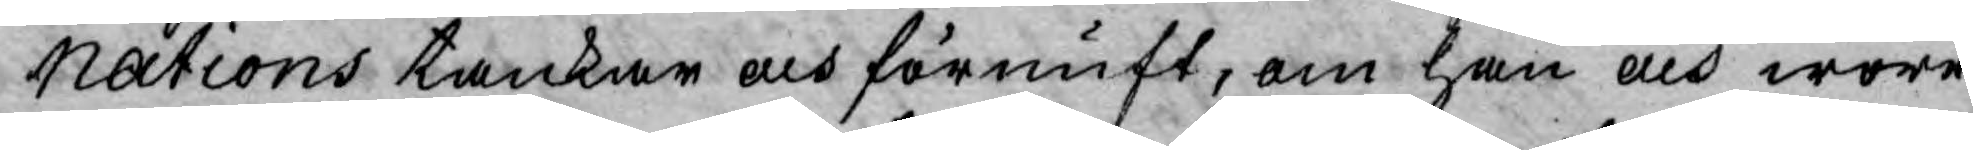Nations tankar och förnuft, om han och wore
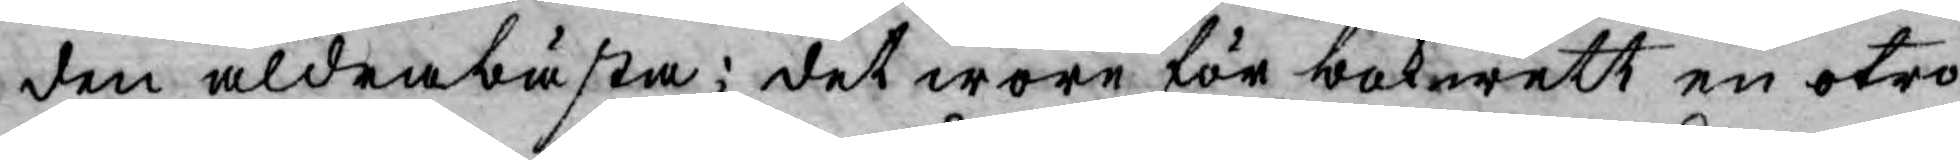den aldrabästa; det wore för bokwett en otro¬
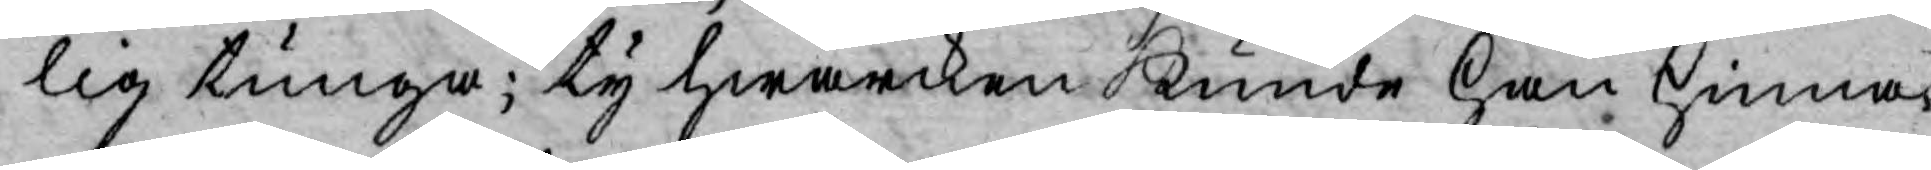lig tunga; ty hwarcken kunde han hinna
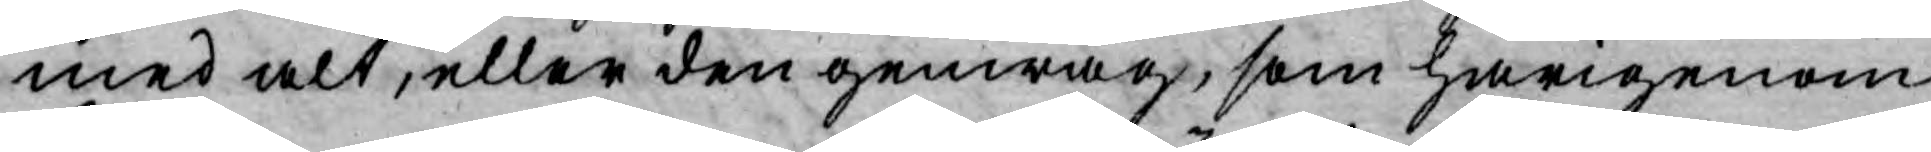med alt, eller den genwäg, som härigenom
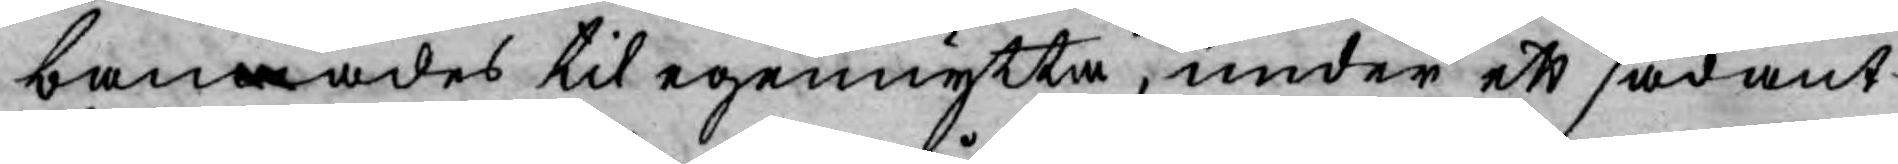bannades til egennytta, under ett sådant
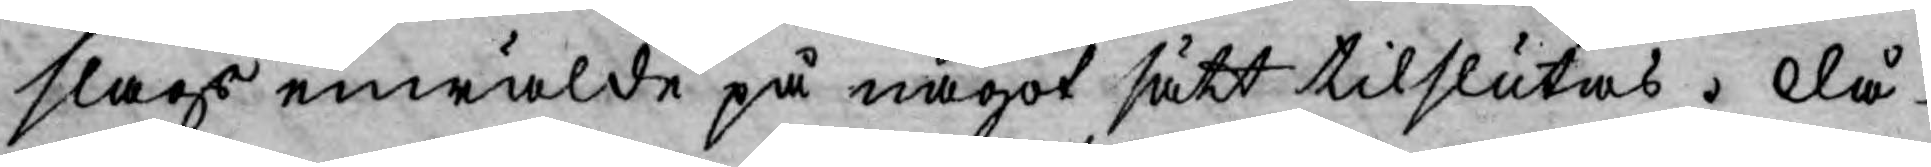slags enwälde på något sätt tilslutas. Då
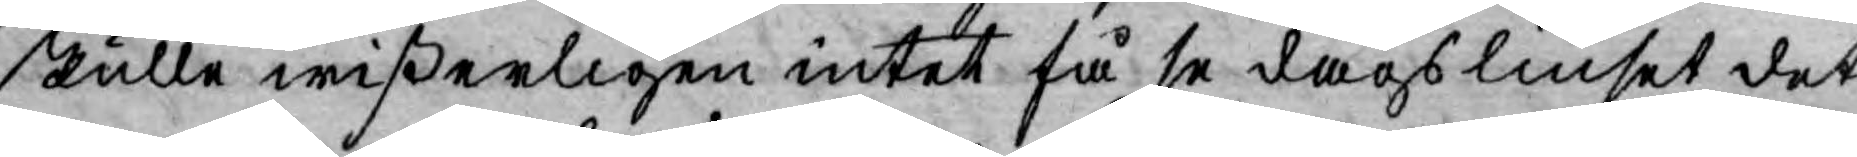skulle wißerligen intet få se dags liuset det,
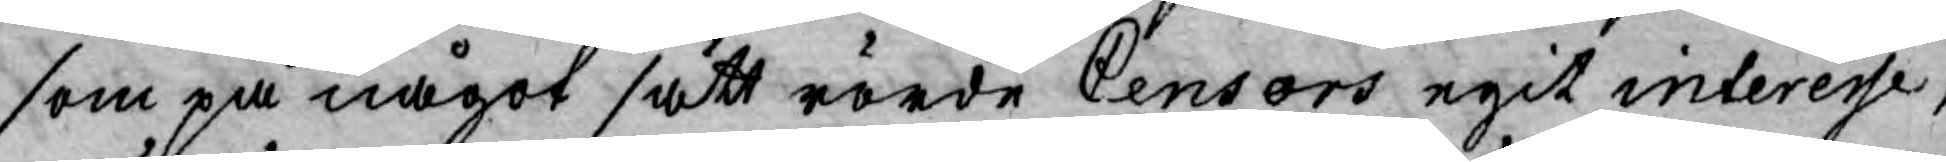som på något sätt rörde Censors egit interesse,
